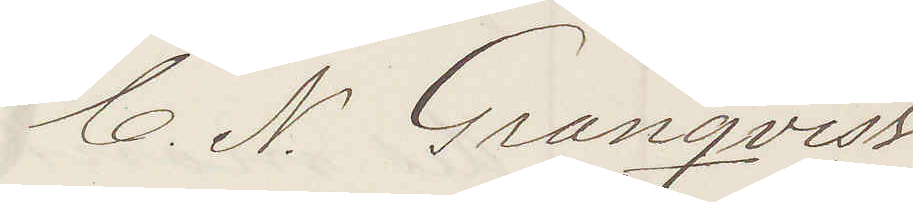C. N. Granqvist
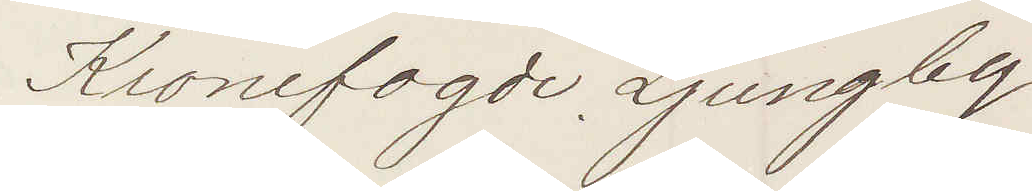Kronefogde Ljungby
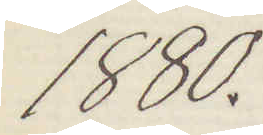1880.
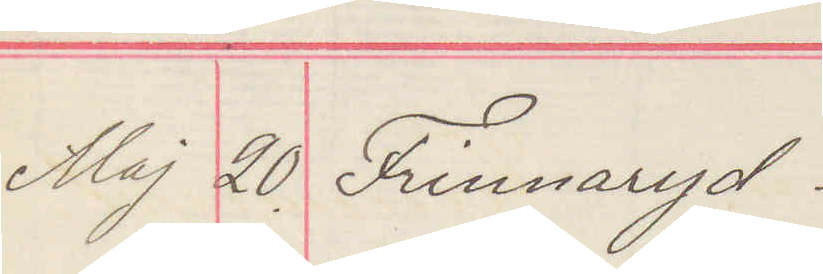Maj 20 Frinnaryd.
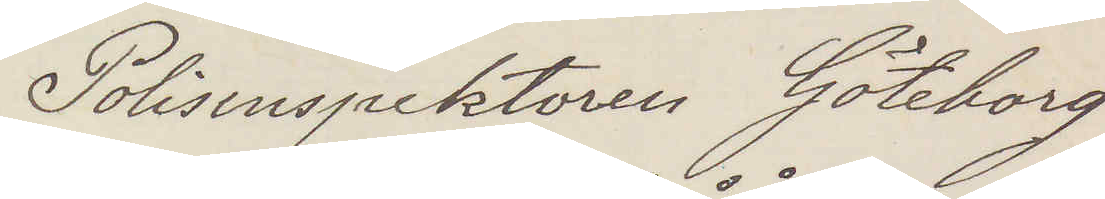Polisinspektoren Göteborg
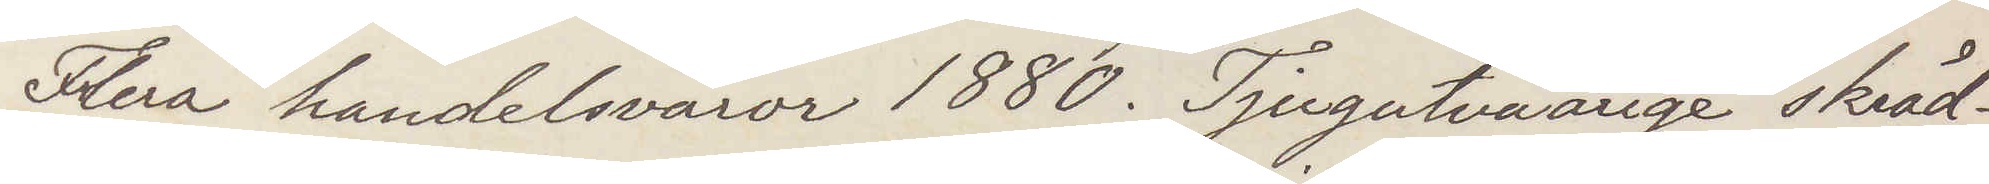Flera handelsvaror 1880. Tjugotvåårige skräd¬
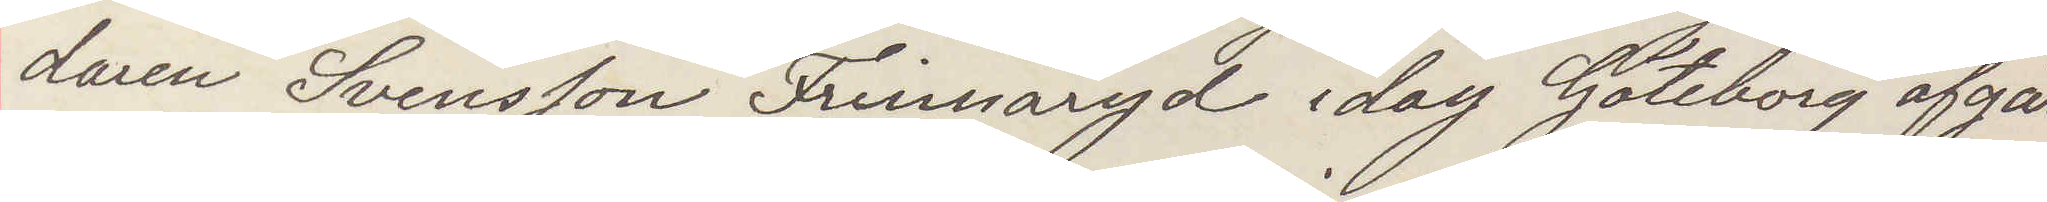daren Svensson Frinnaryd idag Göteborg afgår
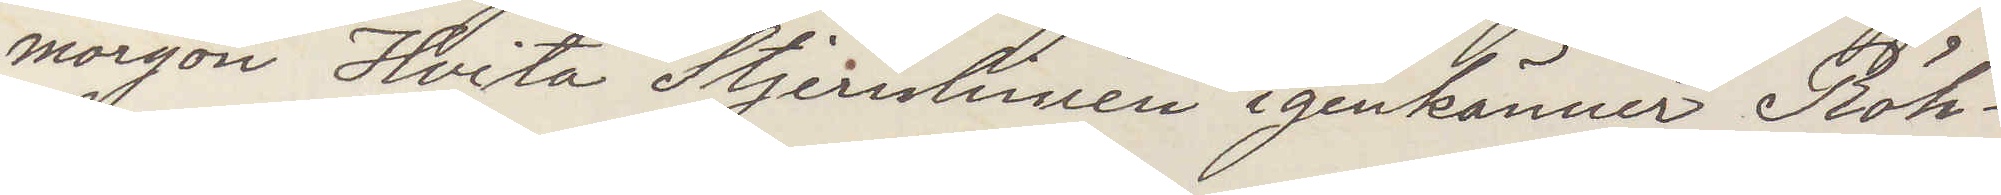morgon Hvita Stjernlinien igenkänner Röh¬
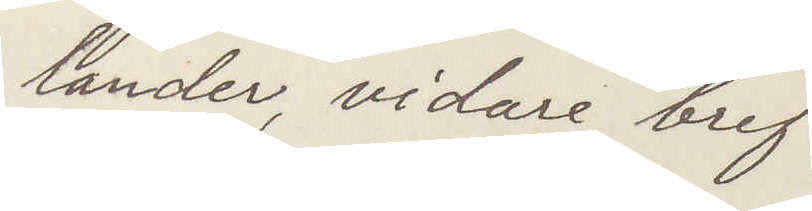lander, vidare bref
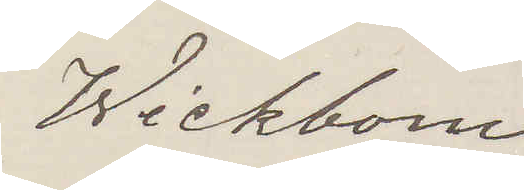Wickbom
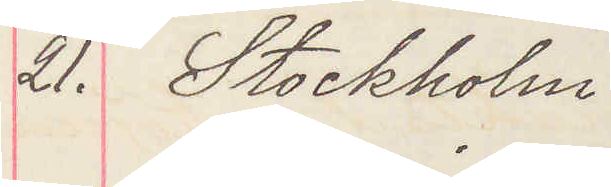21. Stockholm
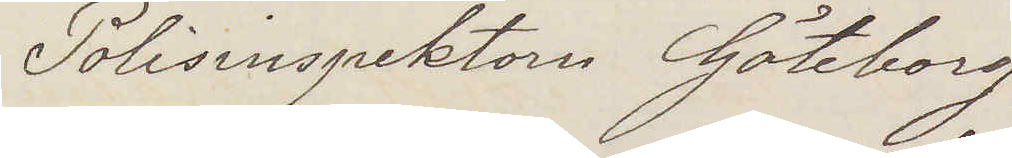Polisinspektorn Göteborg
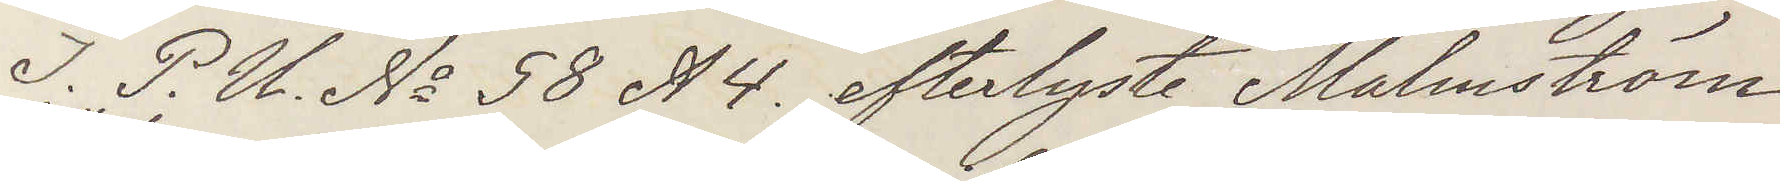I P. U. No 58 A4. efterlyste Malmström
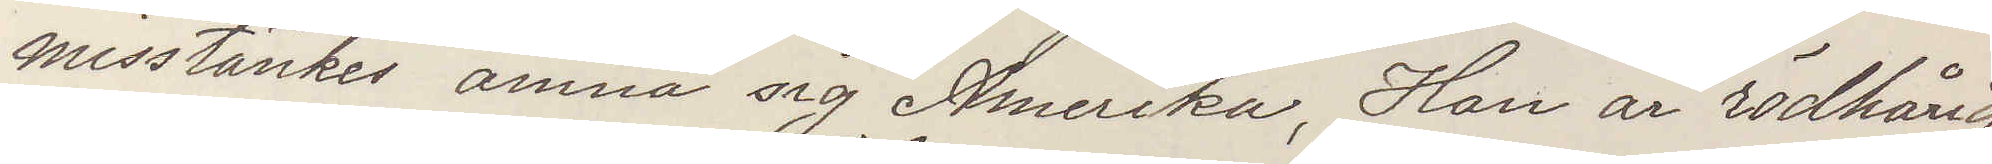misstänkes amna sig Amerika. Han är rödhårig
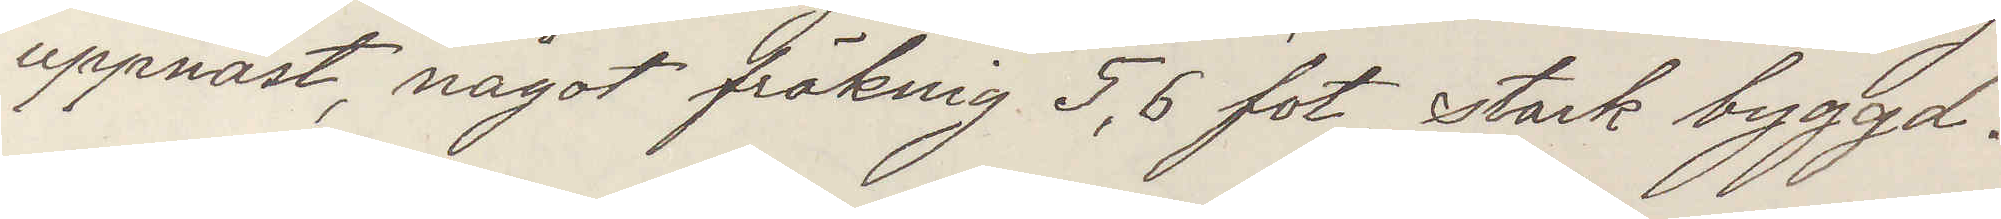uppnäst, något fräknig 5,6 fot stark byggd.
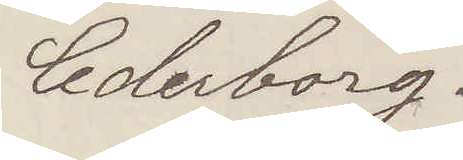Cederborg.
